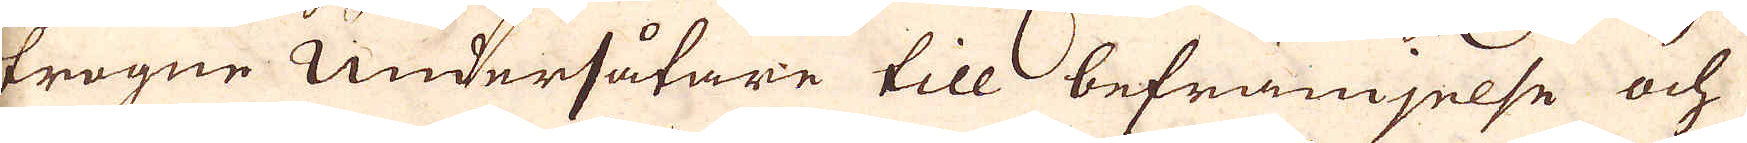trogne Undersåtare till befrämjelse och
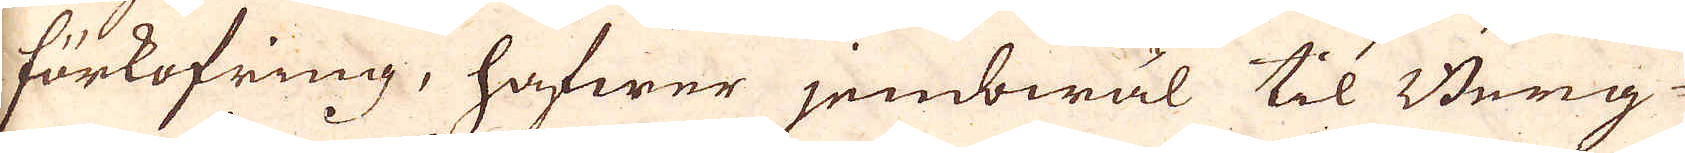förkofring, hafwer jembwäl til Berg-
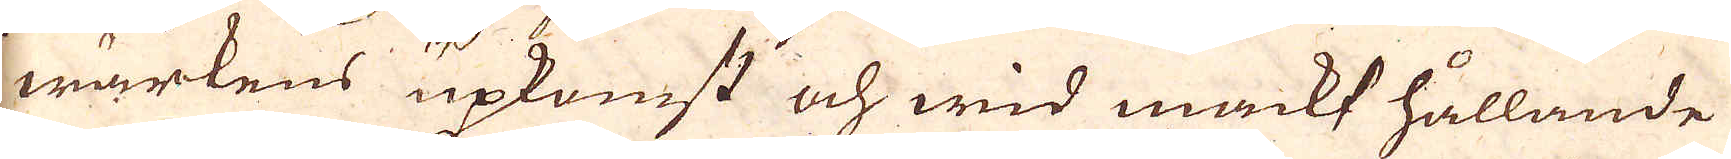wärkens upkomst och wid makt hållande
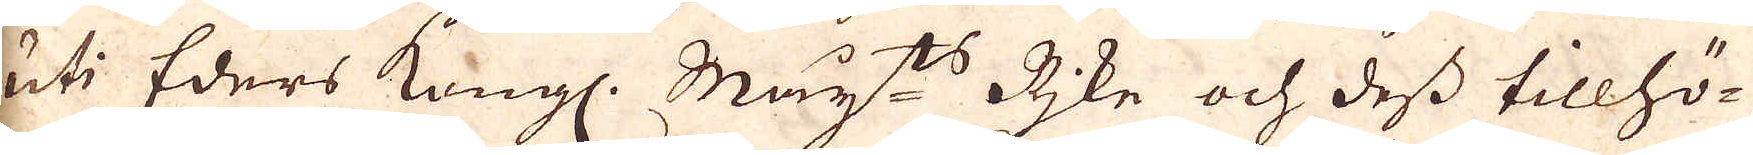uti Eders Kongl. May:ts Rike och dess tillhö-
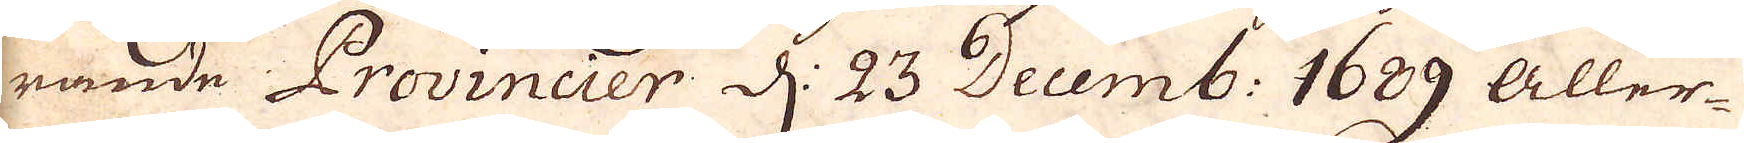rande Provincier d: 23 Decemb: 1689 aller-
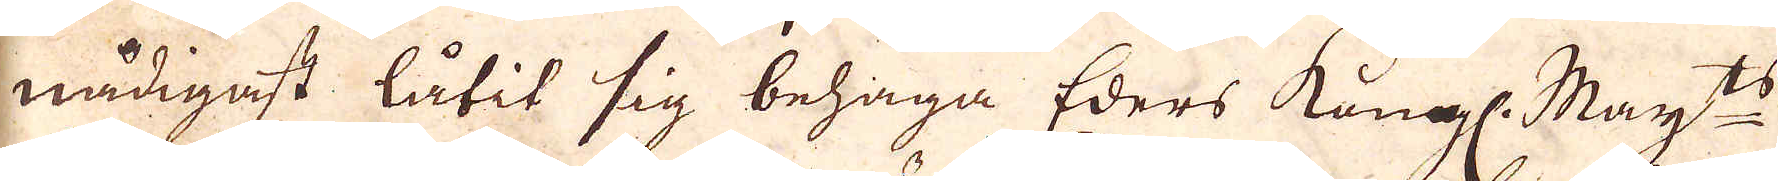nådigast låtit sig behaga Eders Kongl. May:ts
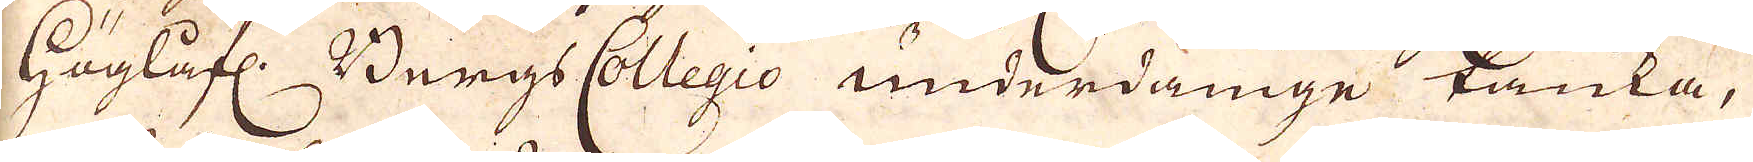Höglåfl: Bergs Collegio underdåninge tanka,
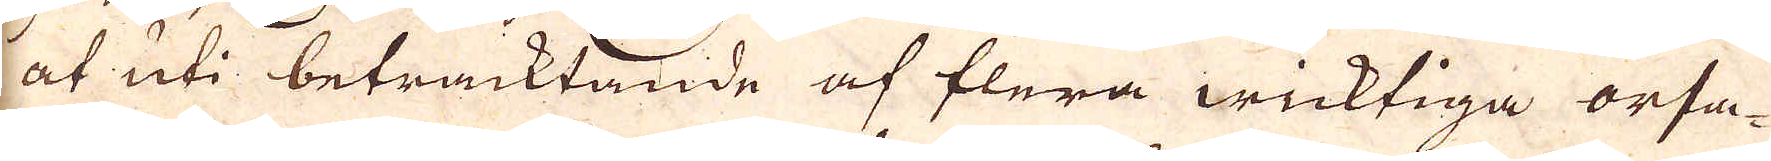at uti betracktande af flera wicktiga orsa-
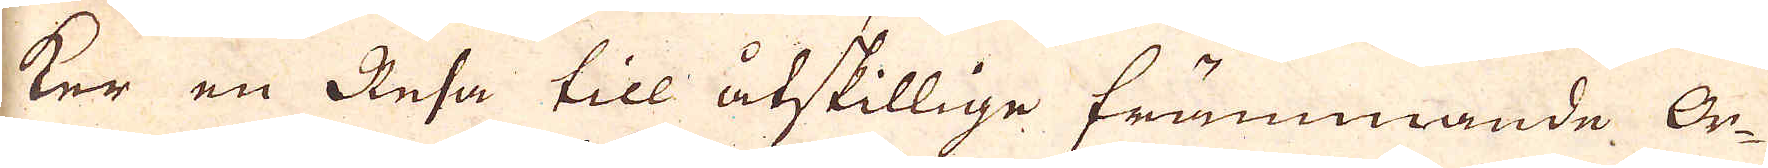ker en Resa till åtskillige främmande Or-
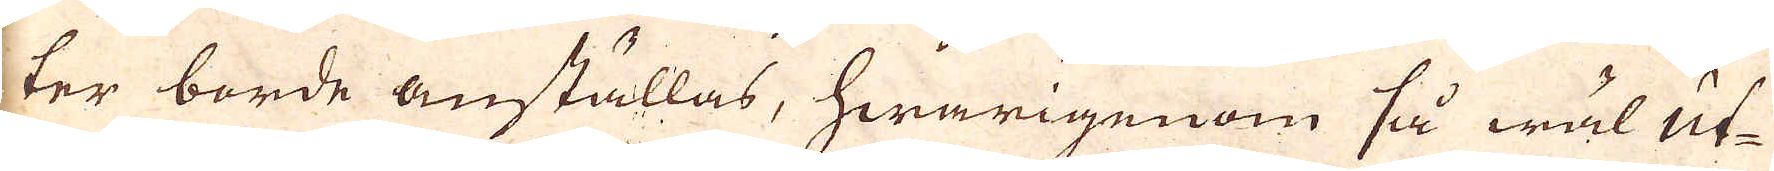ter borde anställas, hwarigenom så wäl ut-
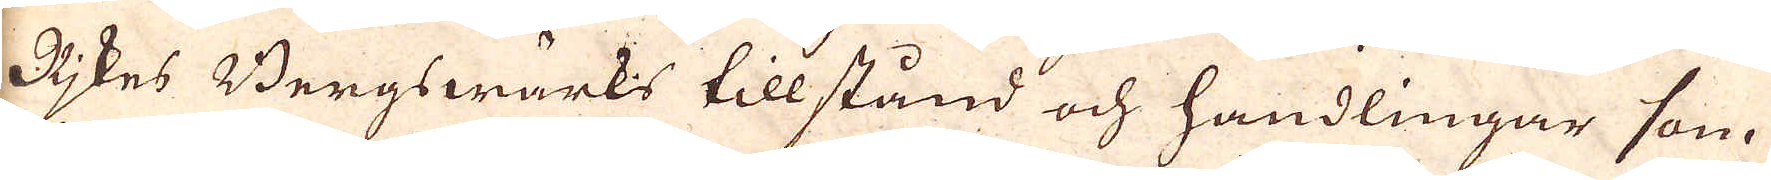Rikes Bergswärks tillstånd och handlingar som
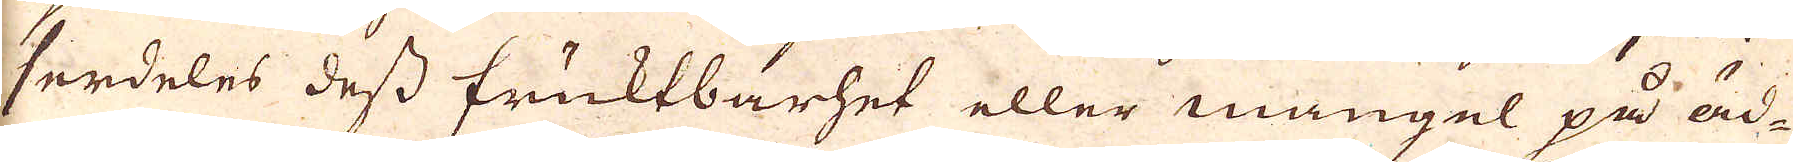serdeles dess fruktbarhet eller mangel på äd-
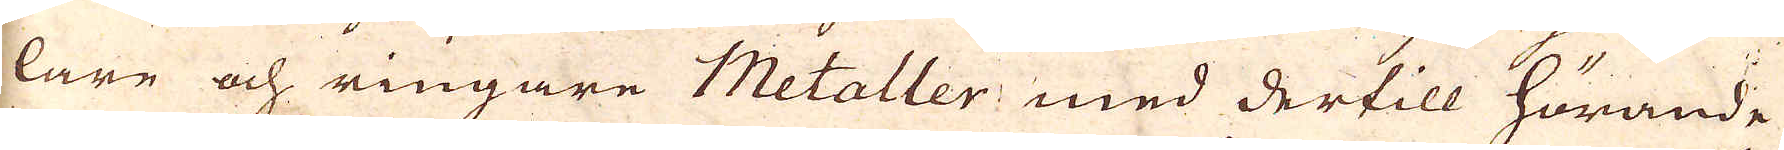lare och ringare Metaller med dertill hörande
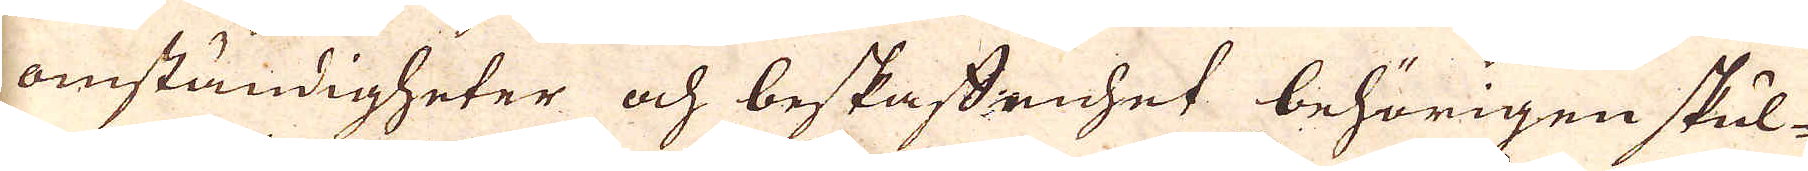omständigheter och beskaffenhet behörigen skul-
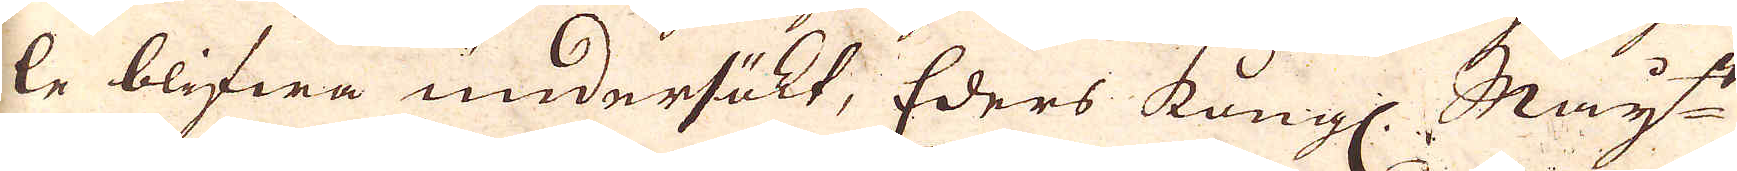le blifwa undersökt, Eders kungl. May:ts
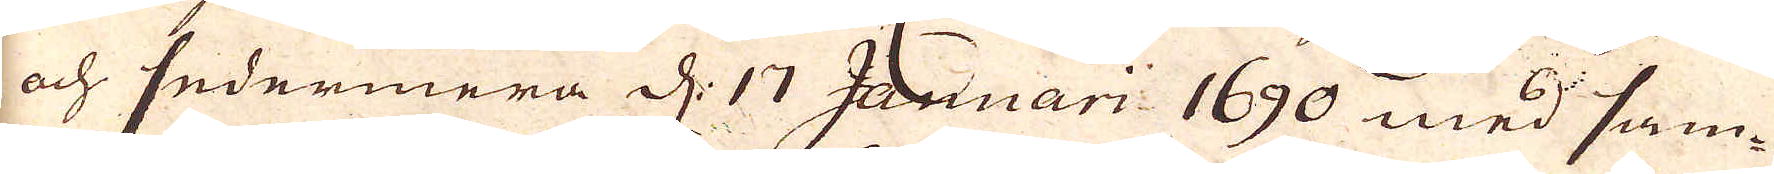och sedermera d. 17 Januari 1690 med sam-
